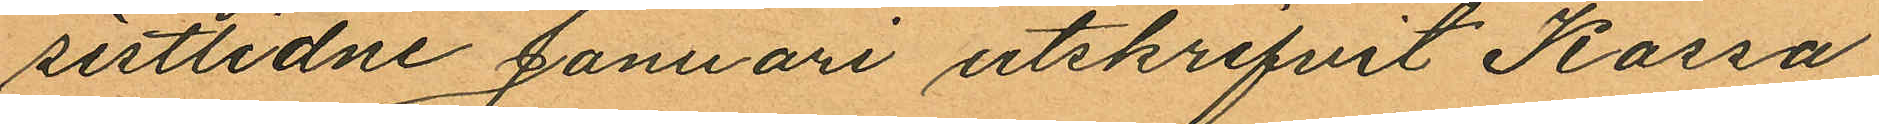sistlidne Januari utskrifvit Kassa
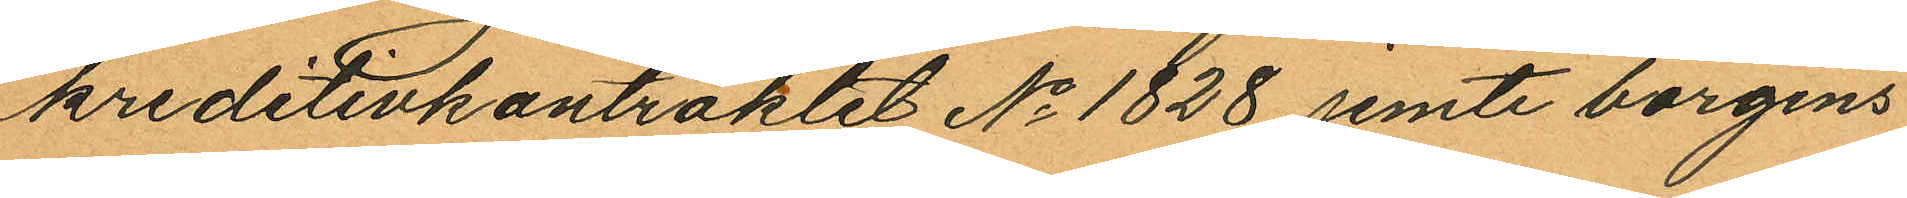kreditivkontraktet No 1828 jemte borgens
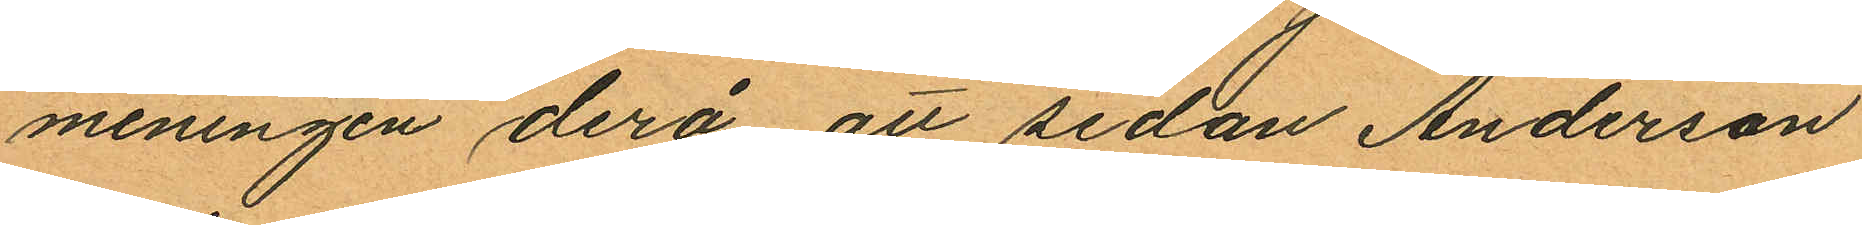meningen derå att sedan Anderson
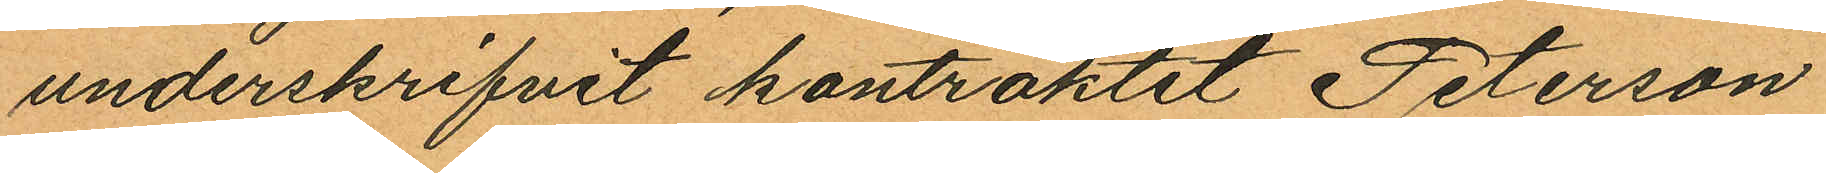underskrifvit kontraktet Peterson
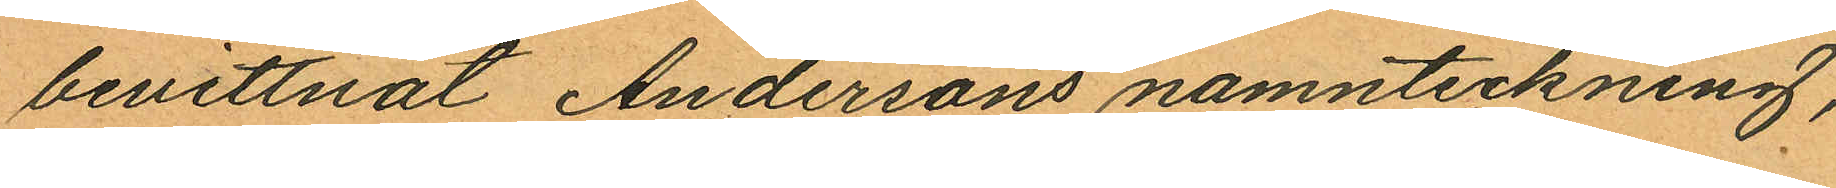bevittnat Andersons namnteckning,
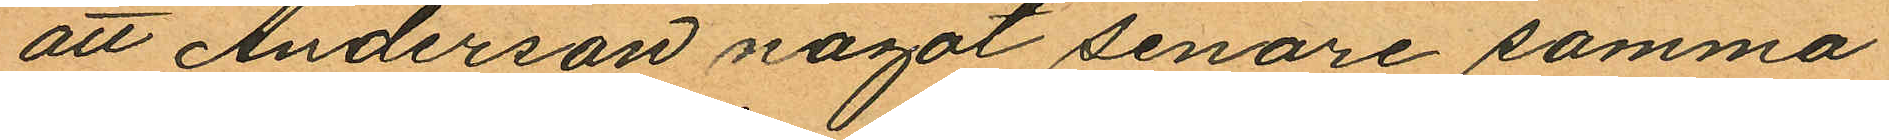att Anderson nagot senare samma
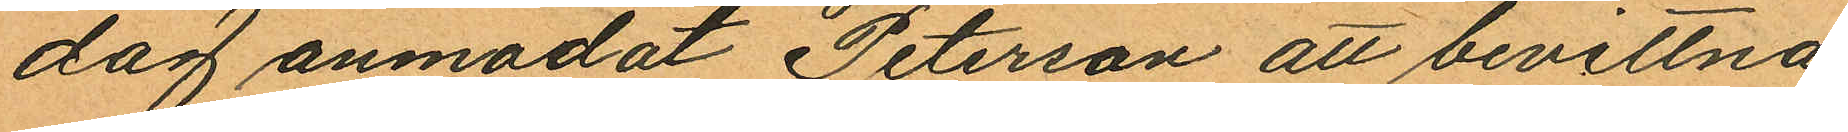dag anmodat Peterson att bevittna
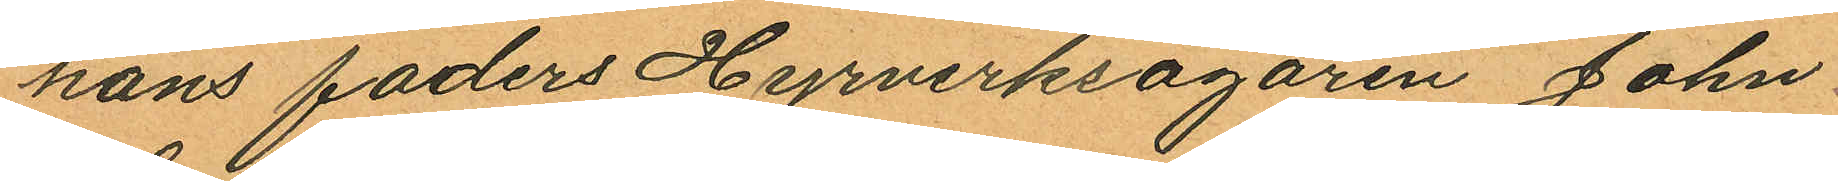hans faders Hyrverksägaren John
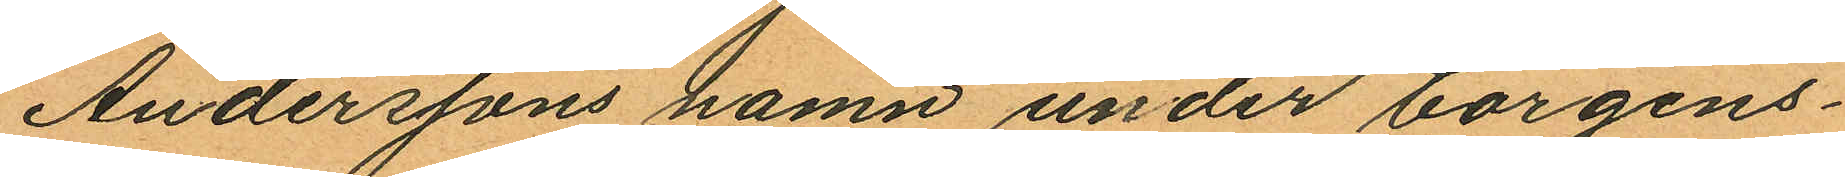Anderssons namn under borgens¬
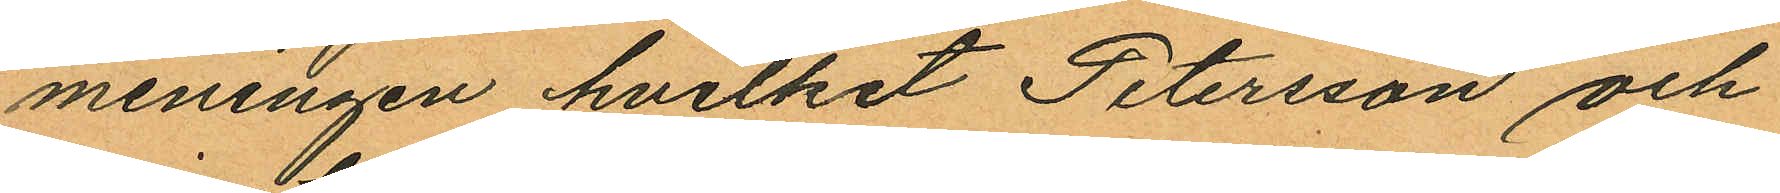meningen hvilket Petersson och
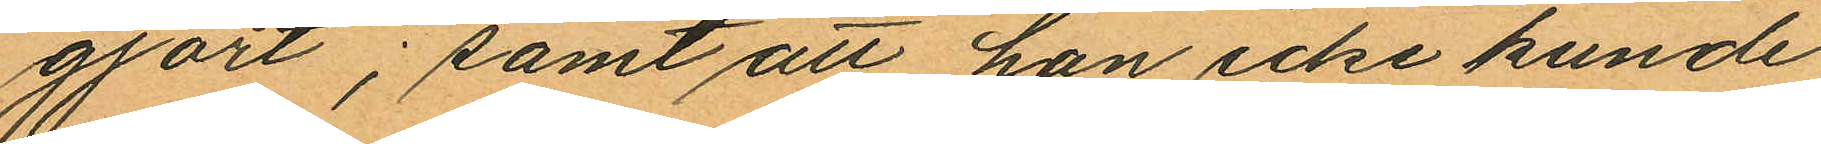gjort; samt att han icke kunde
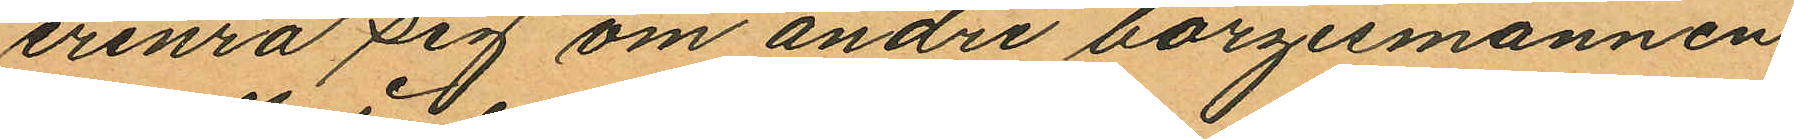erinra sig om andre borgesmannen
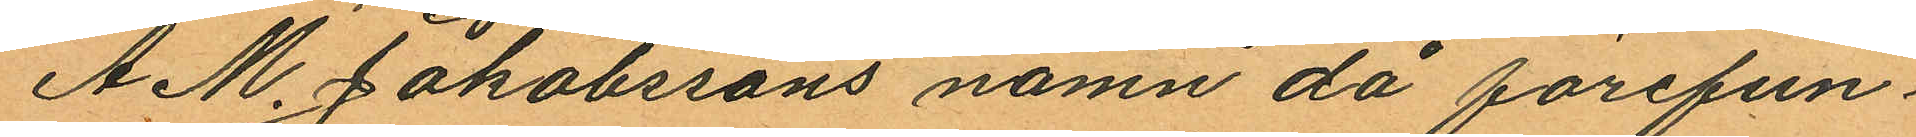A. M. Jakobssons namn då förefun¬
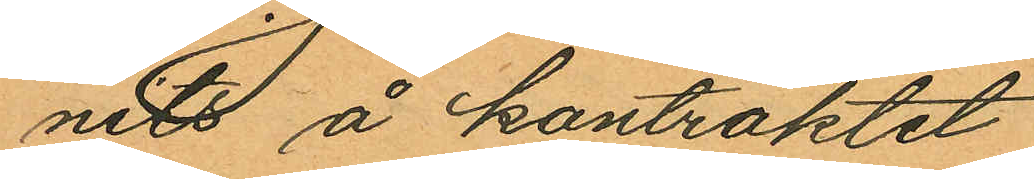nits å kontraktet
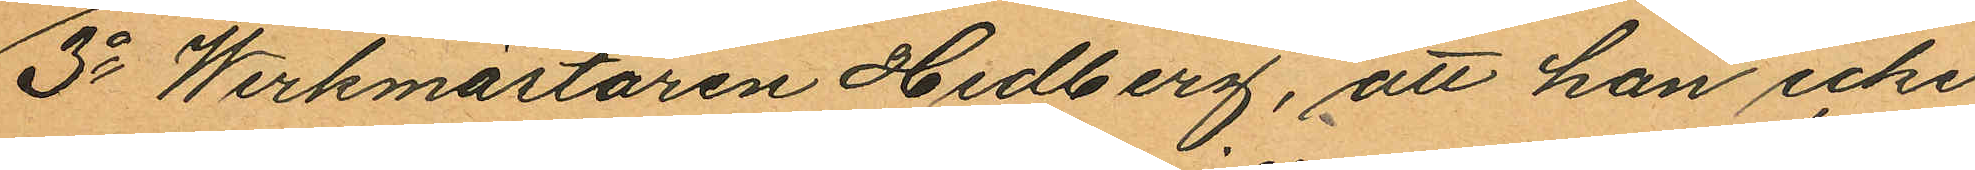3o Werkmästaren Hedberg, att han icke
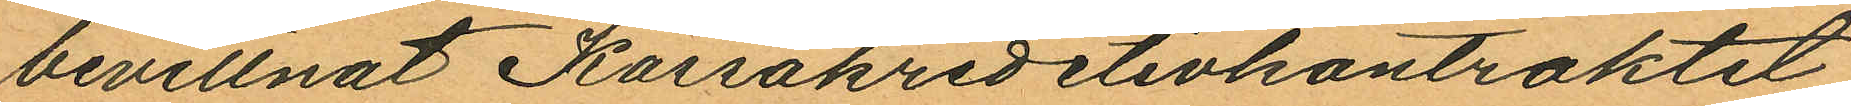bevillnat Kassakreditivkontraktet
